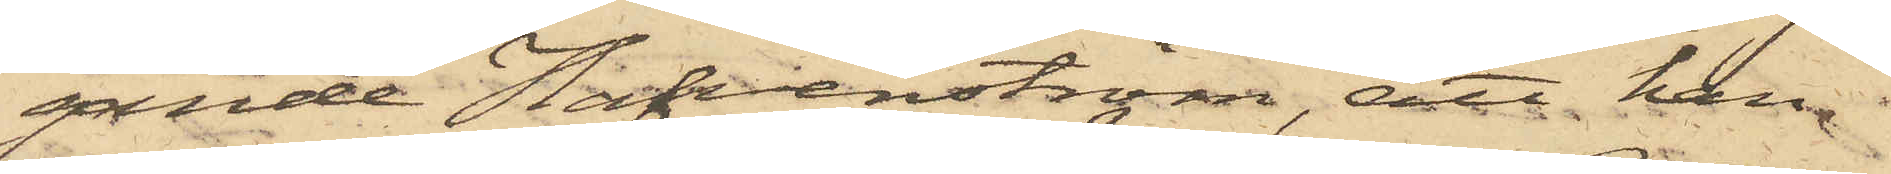gande Hafvenström, att han
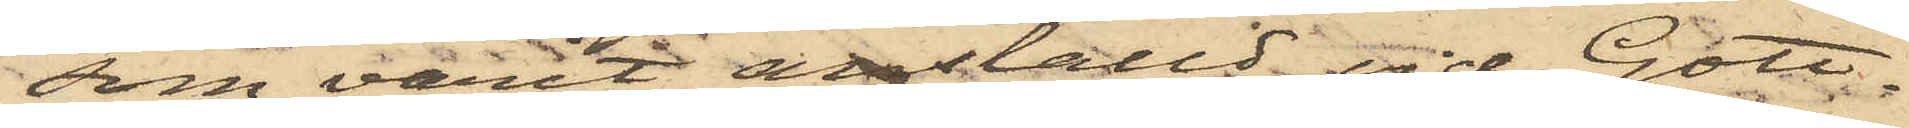som varit anställd vid Gott¬
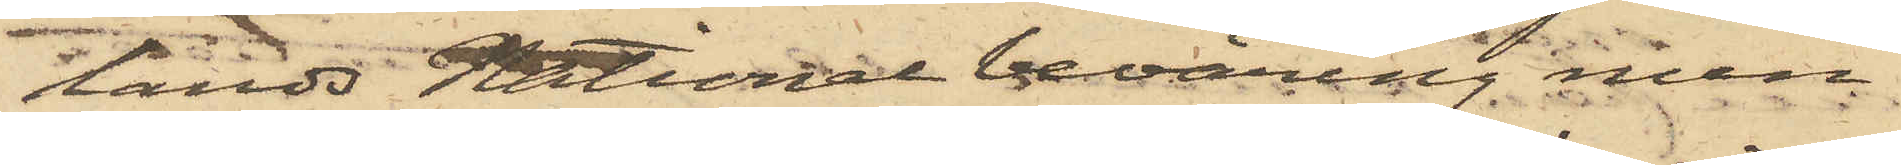lands National beväring men
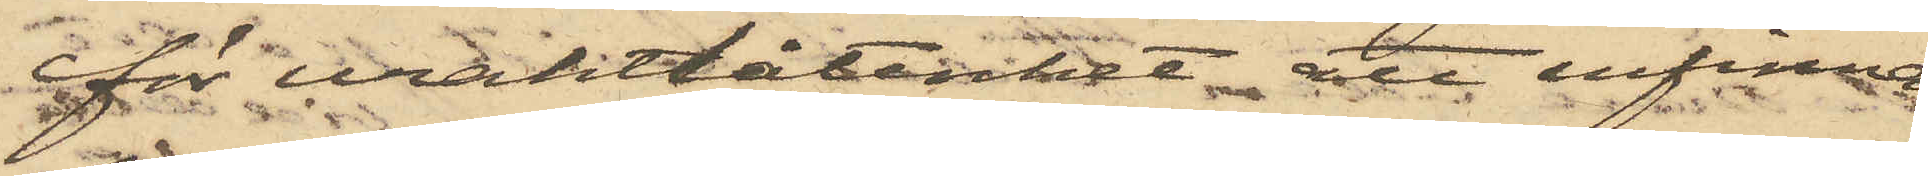för uraktlåtenhet att infinna
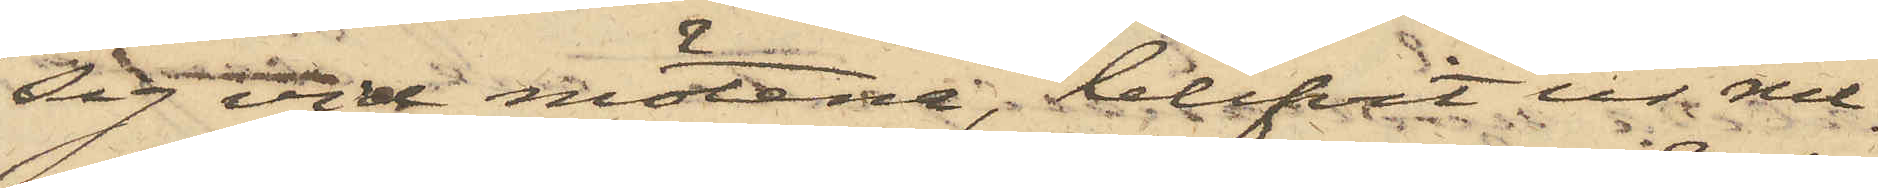sig vid mötena, blifvit ur rul¬
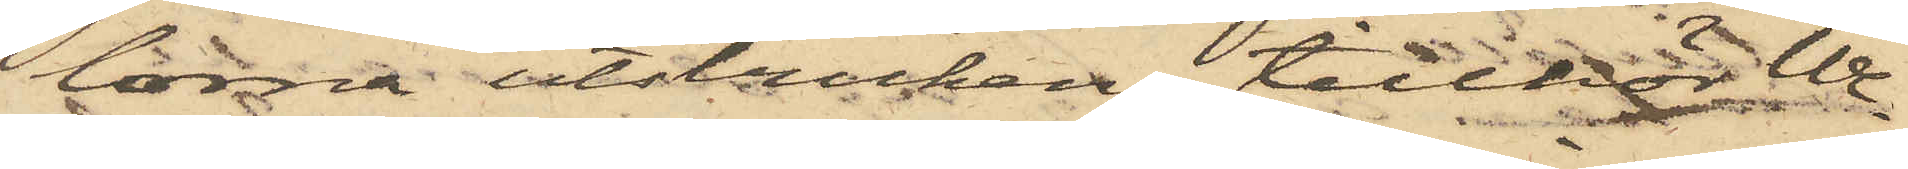lorna utstruken, tillhör We¬
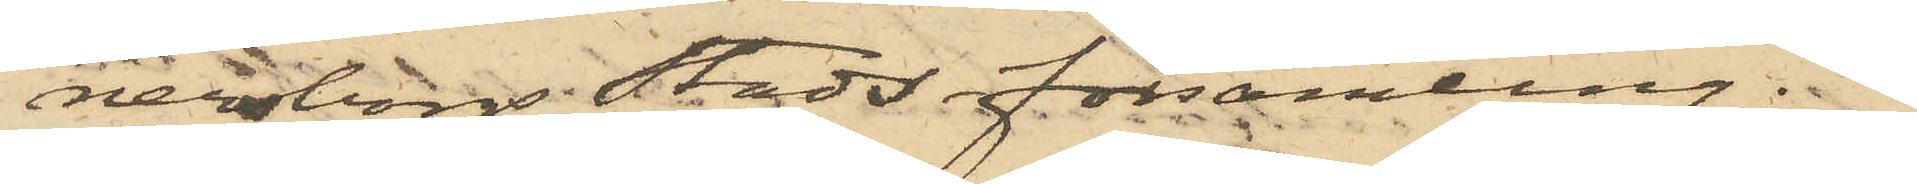nersborgs Stads församling.
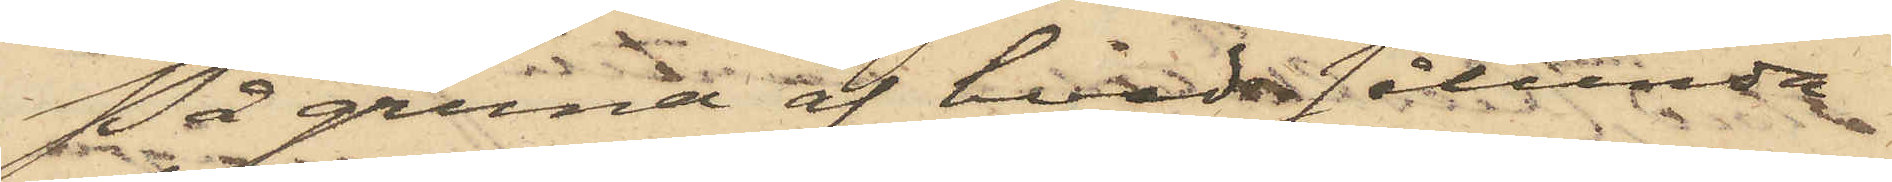På grund af hvad sålunda
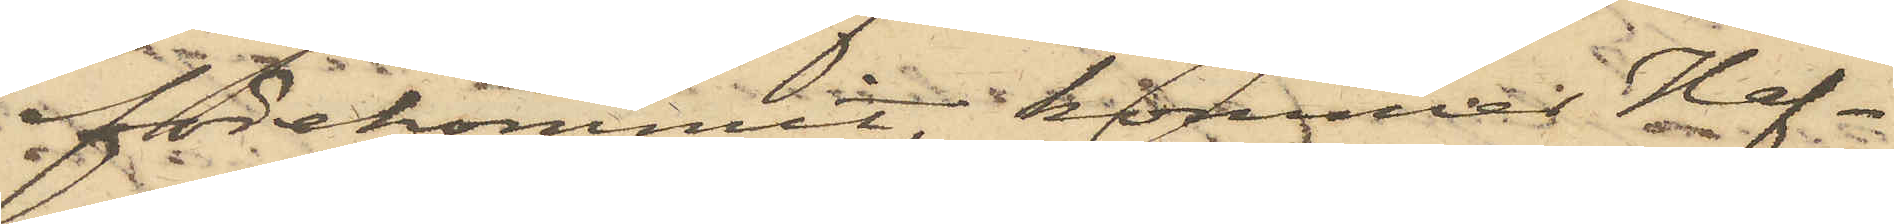förekommit, kommer Haf¬
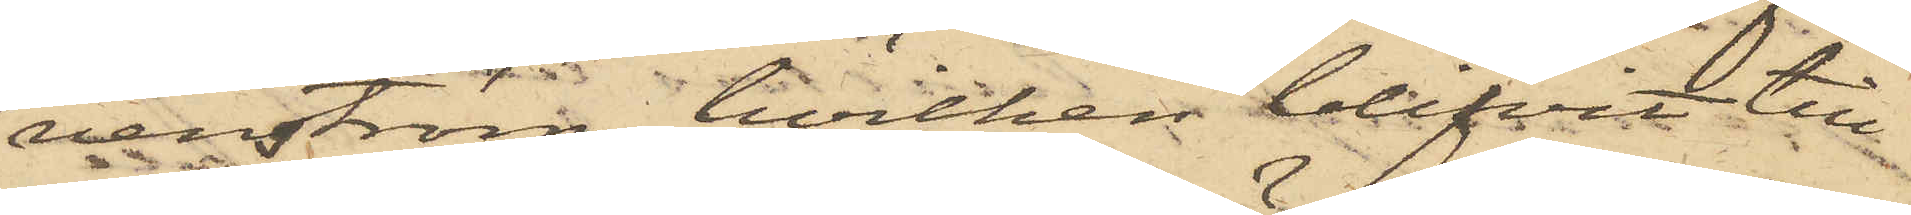venström, hvilken blifvit till¬
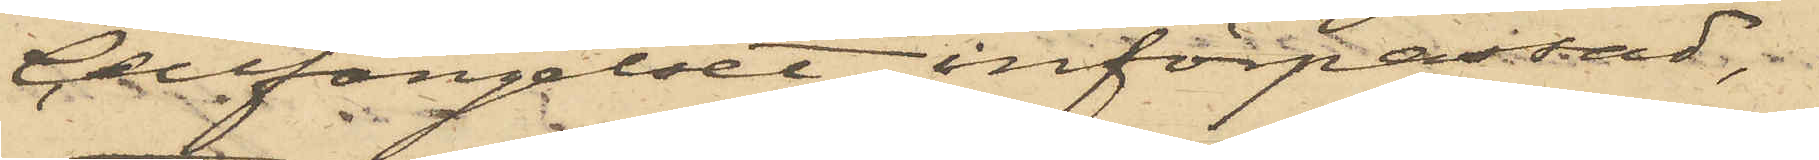Cellfängelset införpassad,
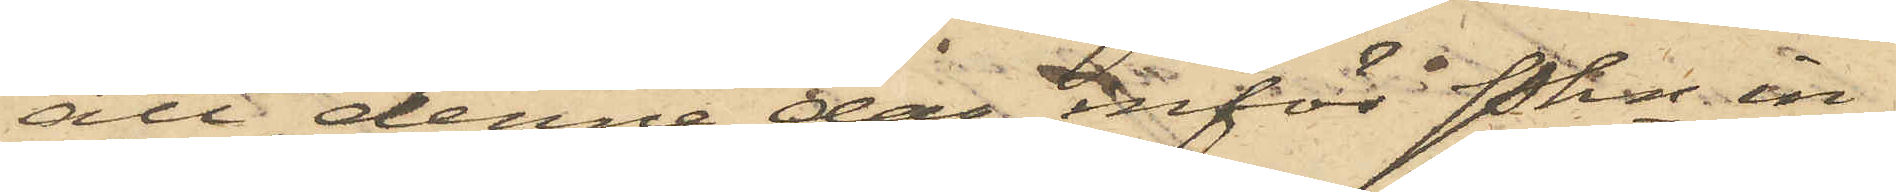att denna dag inför Pkn in¬
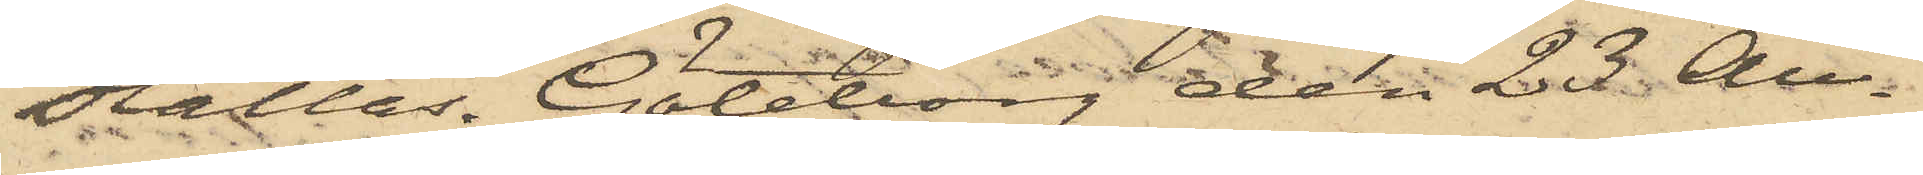ställas. Göteborg den 23 Au¬
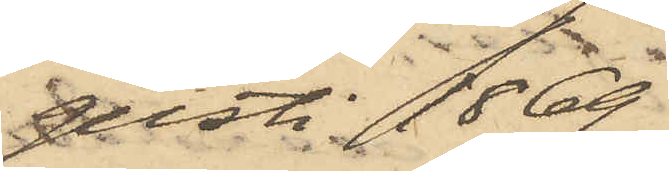gusti 1869.
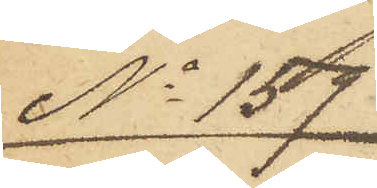No 159
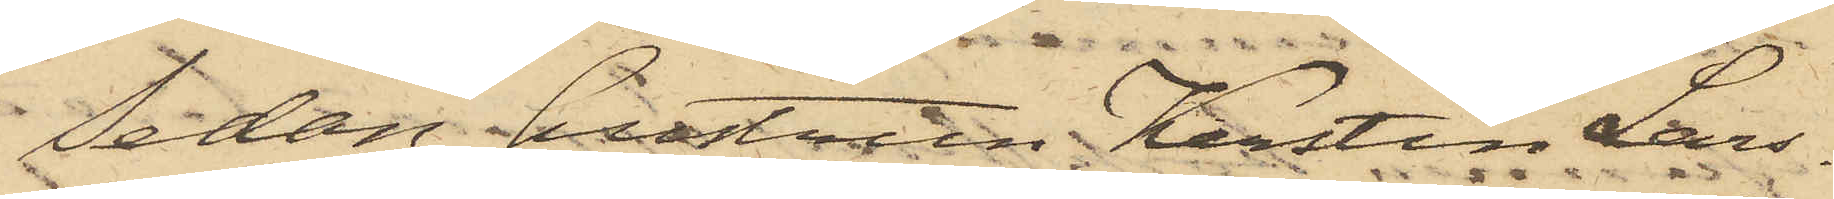Sedan hustrun Kerstin Lars¬
